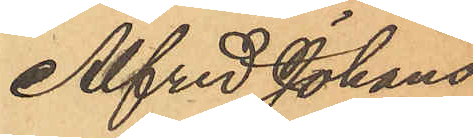Alfred Johans¬
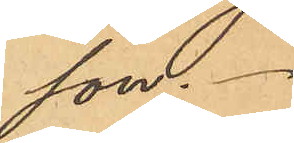son.
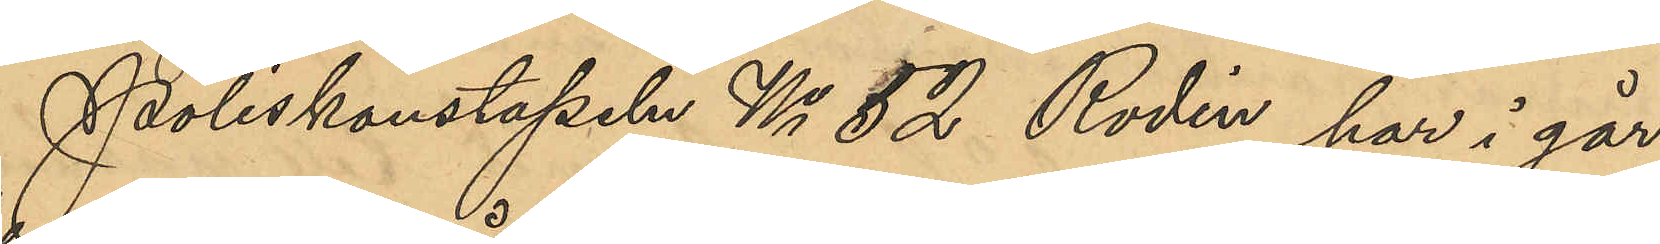Poliskonstapeln No 52 Rodin har i går
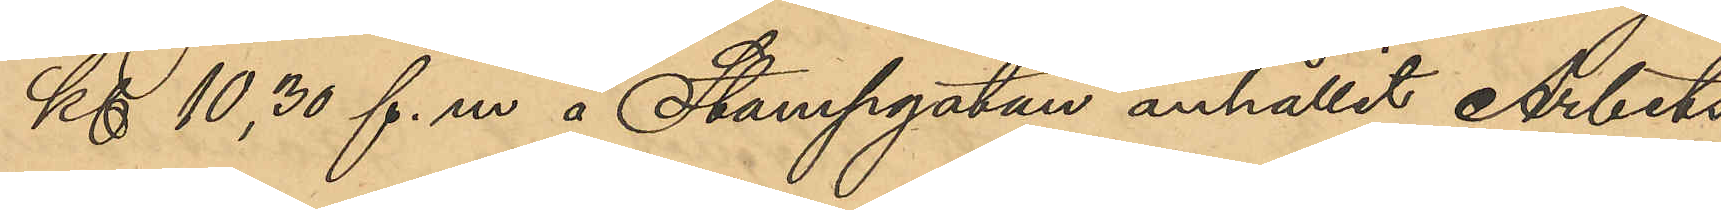Kl 10,30 f.m. å Stampgatan anhållit Arbets¬
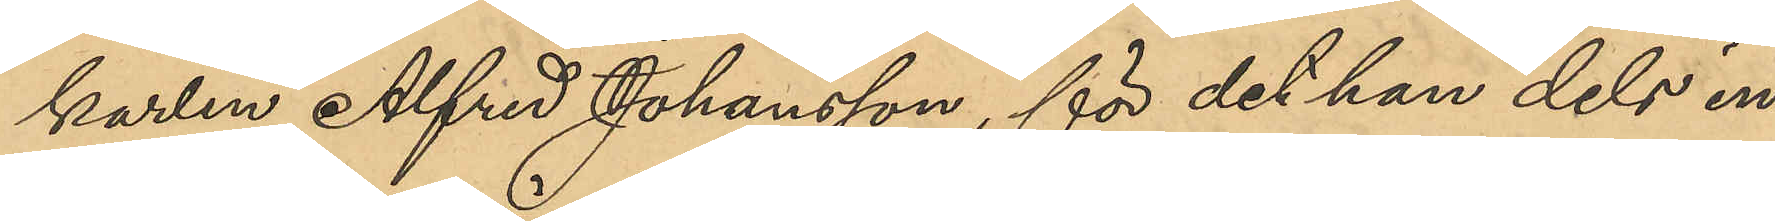karlen Alfred Johansson, för det han dels in¬
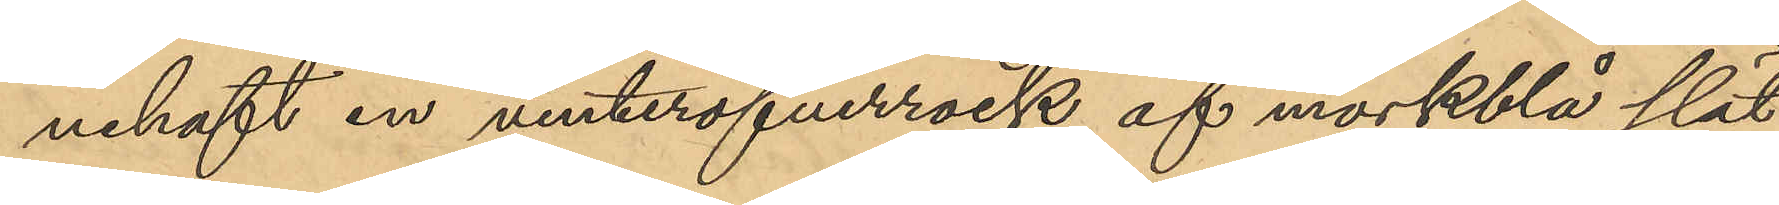nehaft en vinteröfverrock af mörkblå slät
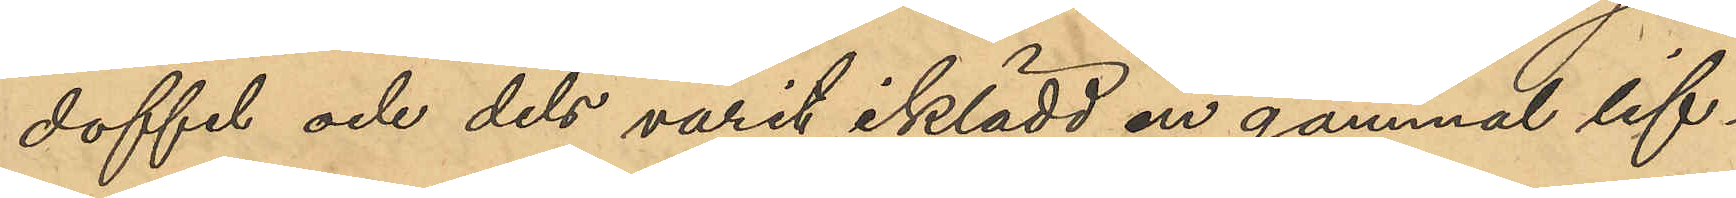doffel och dels varit iklädd en gammal lif¬
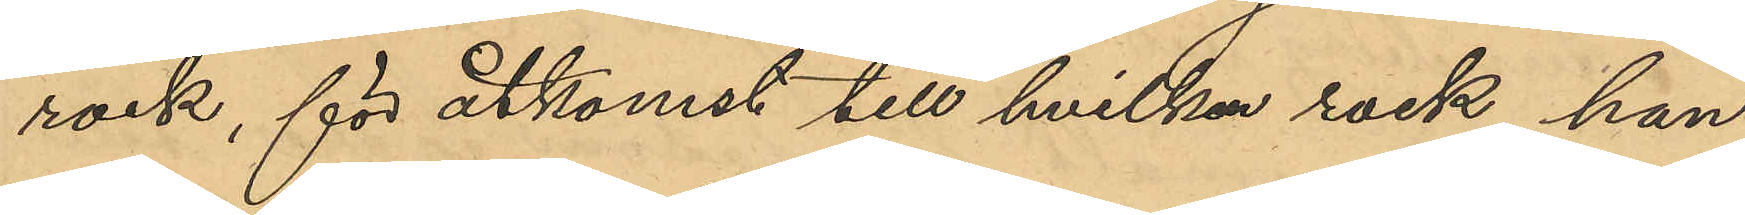rock, för åtkomst till hvilken rock han
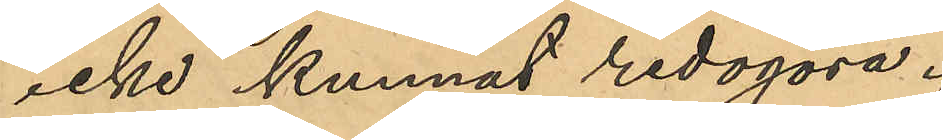icke kunnat redogöra.
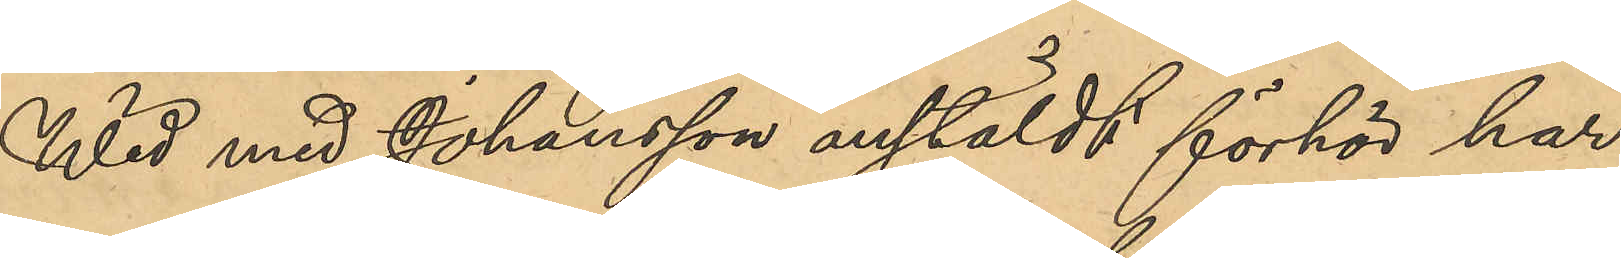Wid med Johansson anstäldt förhör har
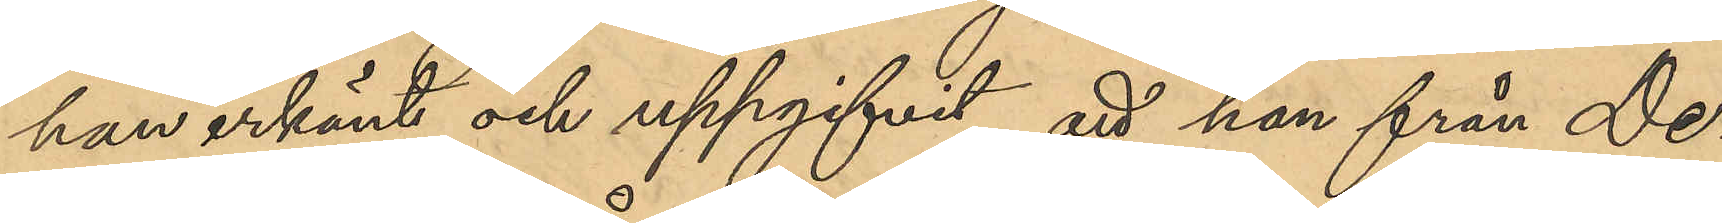han erkänt och uppgifvit, att han från De¬
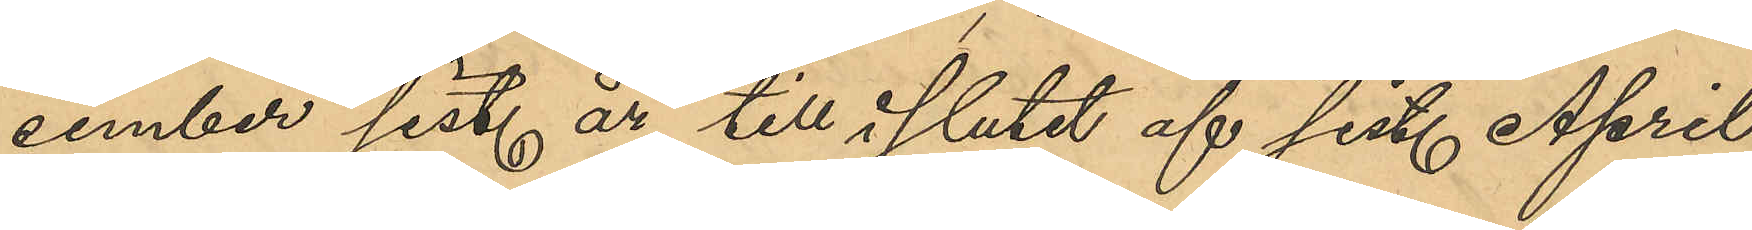cember sist. år till i slutet af sist. April
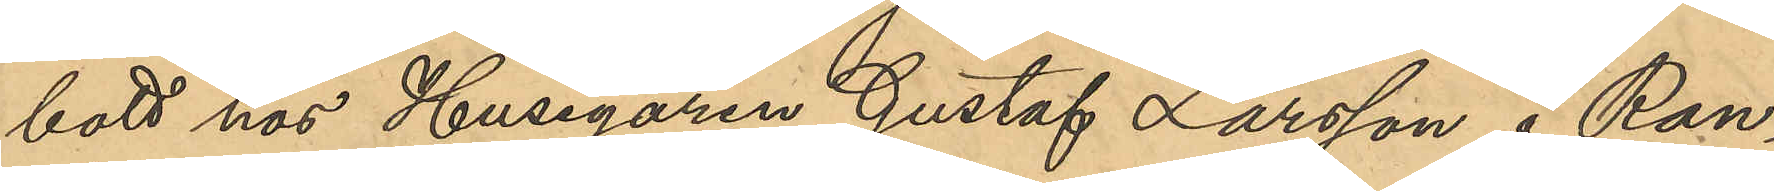bott hos Husegaren Gustaf Larsson i Ran¬
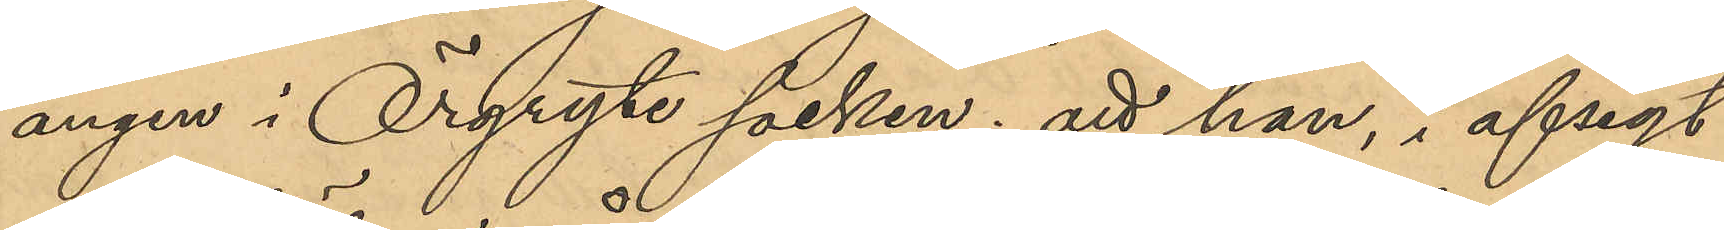ängen i Örgryte socken; att han, i afsigt
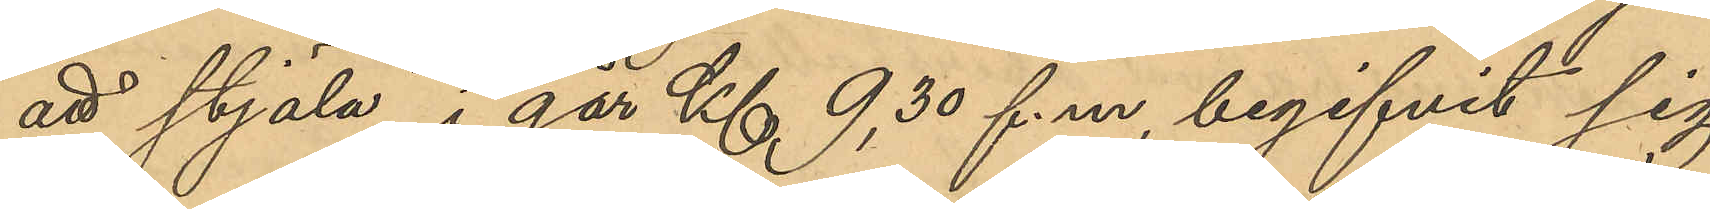att stjäla, i går Kl 9,30 f.m., begifvit sig
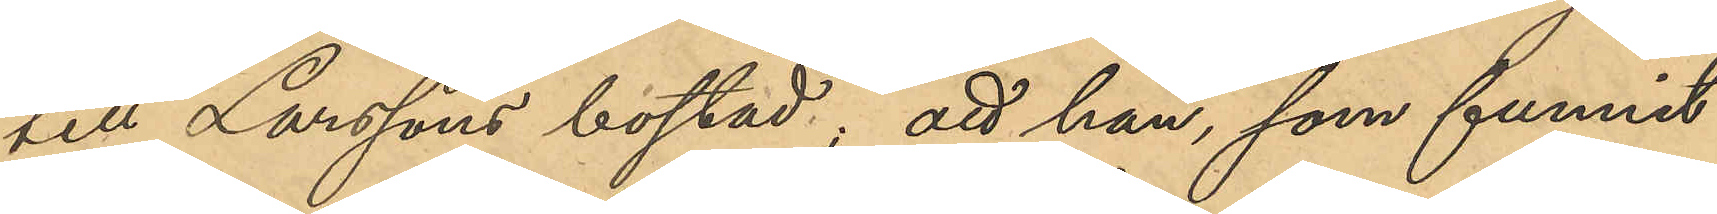till Larssons bostad; att han, som funnit
